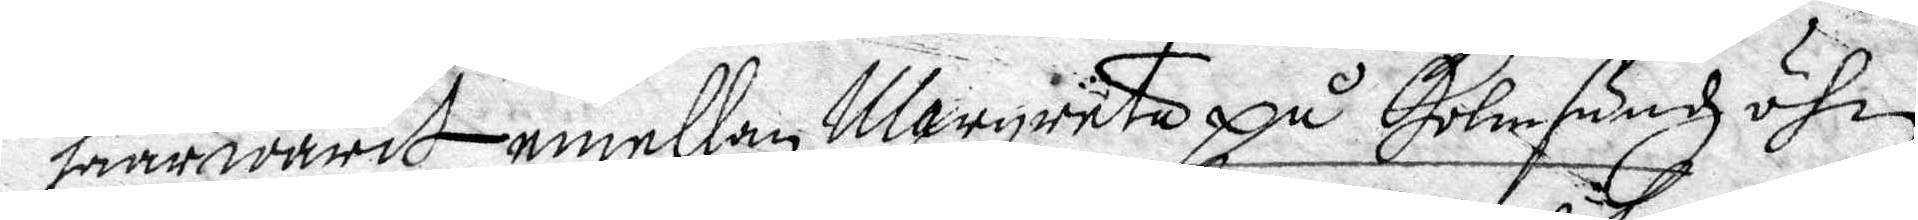haar warit emellan Margareta på Holmßunds öhn
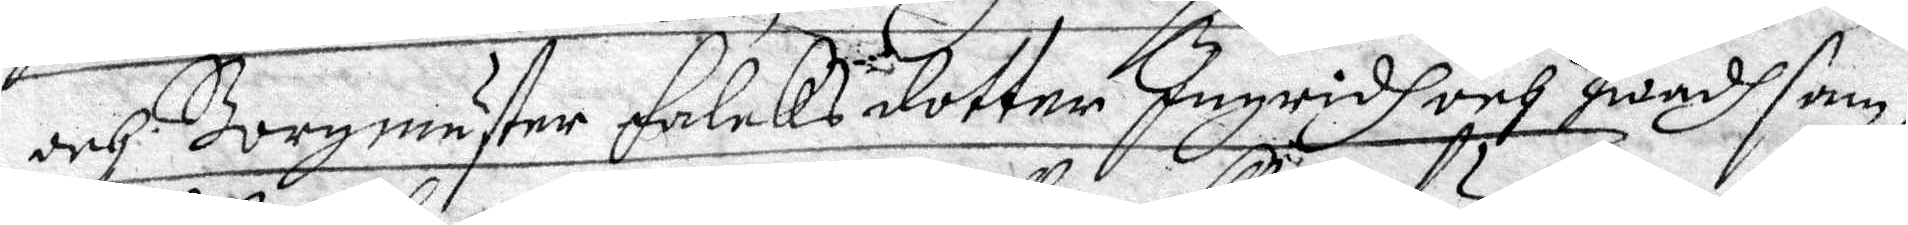och Borgmästare Falcks dotter Ingridh hwadh sam¬
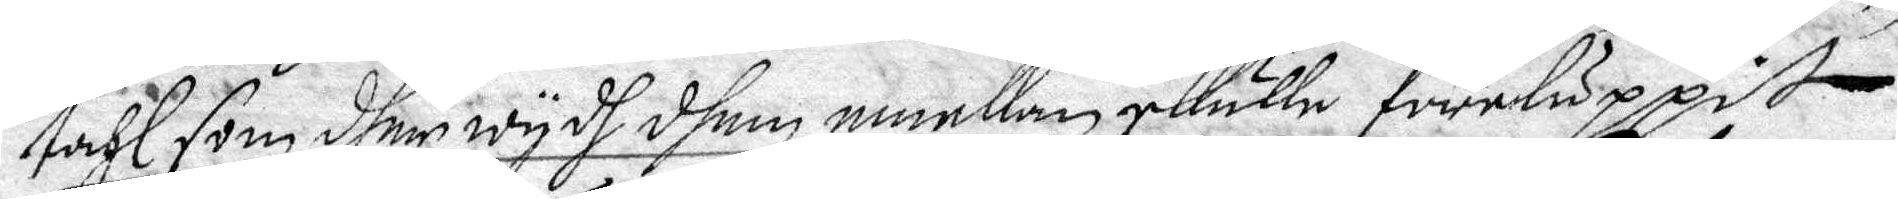tahl som dher wydh dhem emellan skulle föresluppit
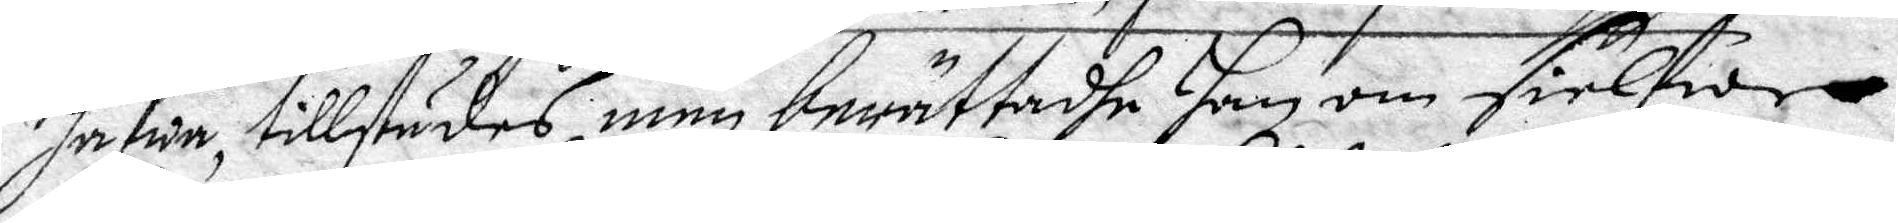hafwa, tillstädes, men berättadhe Hon om sielfwa
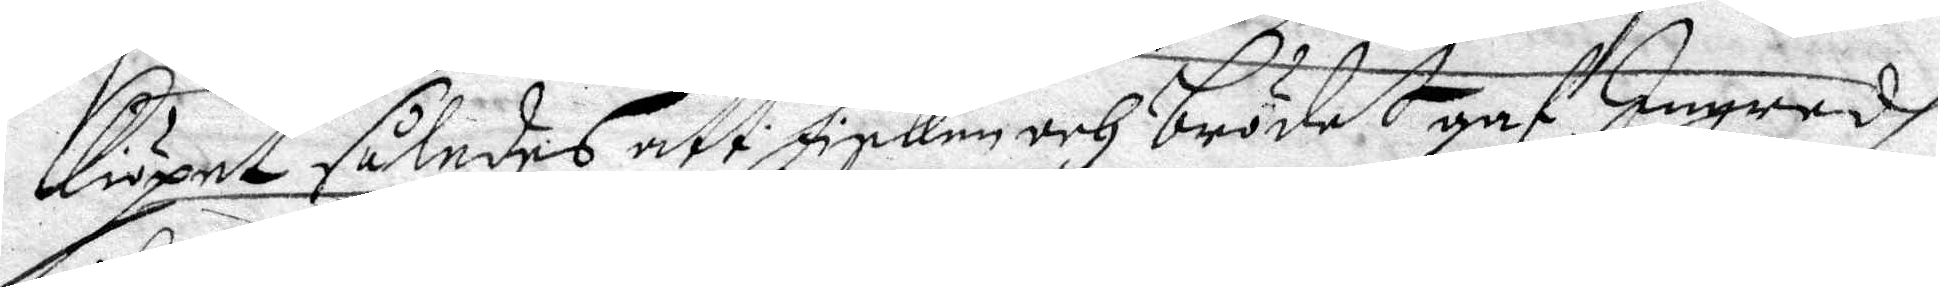Kiöpet således att Fisken och brödet gaf Ingredh
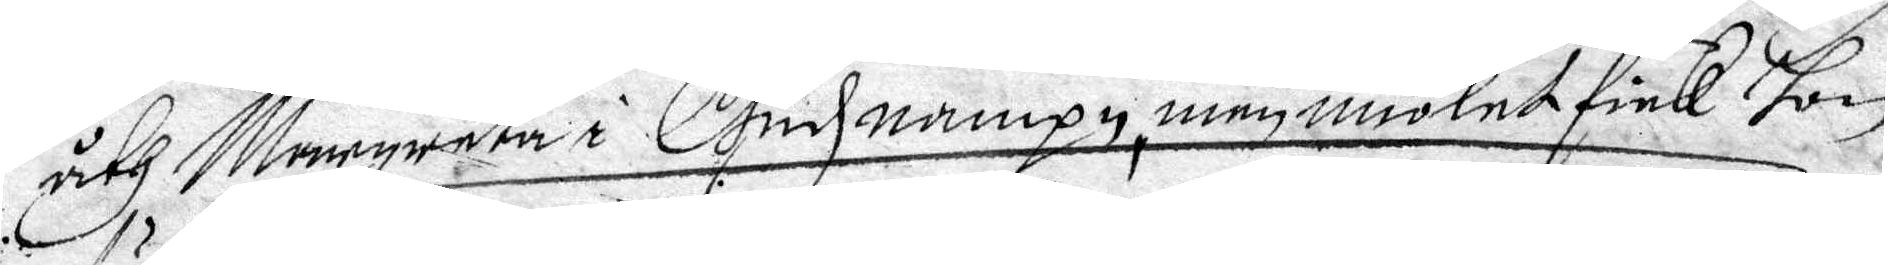åth Margareta i Gudz namnpn, men miölet fick hon
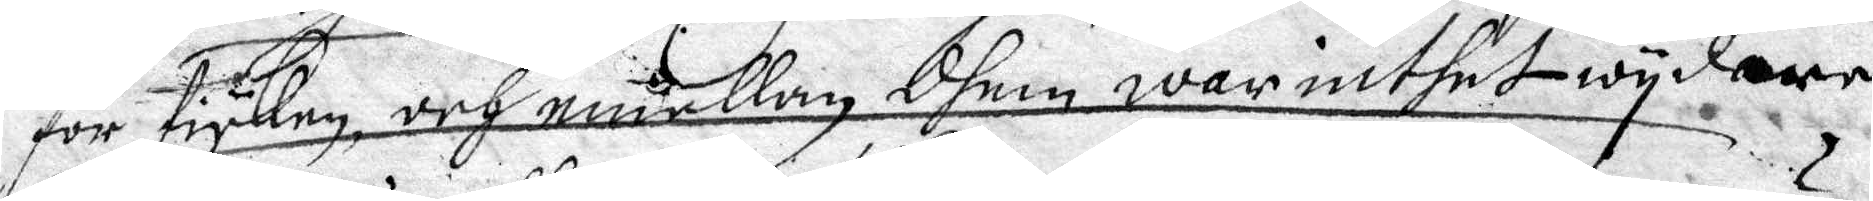för Fysken, och emellan dhem war intehet wydare
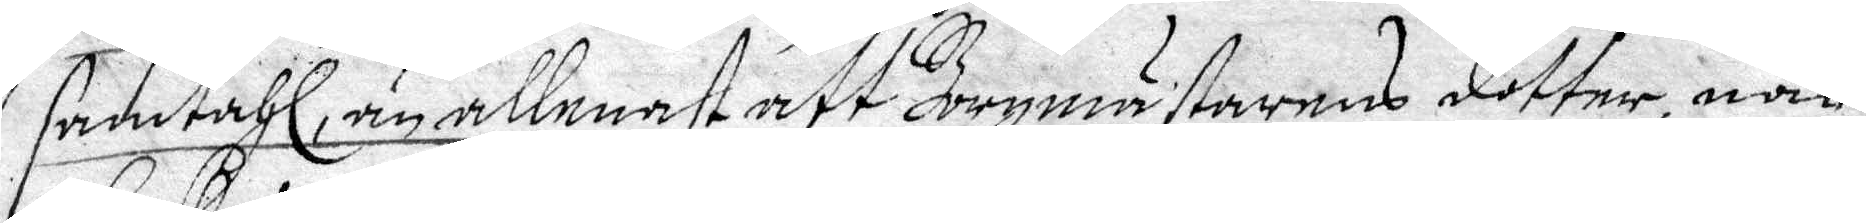samtahl, än allenast att Borgmästarens dotter, när
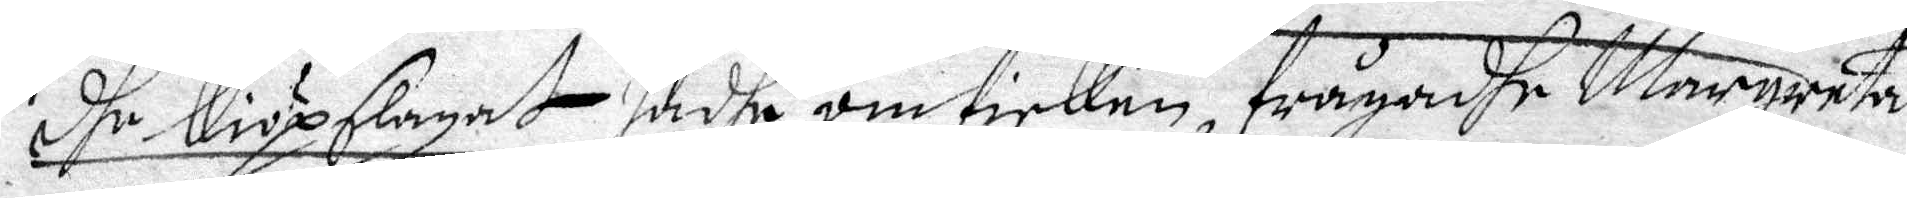dhe Kiöpslagat hadhe om fisken, frågadhe Margareta
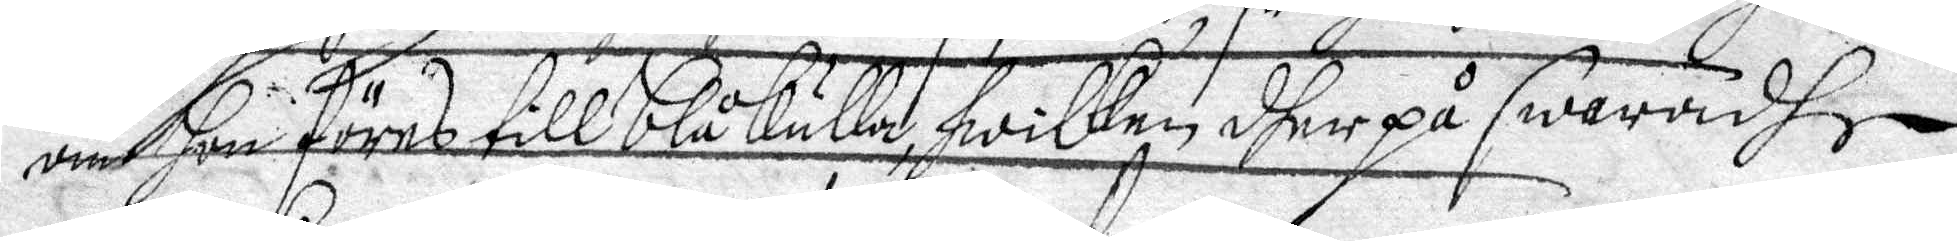om hon föres till blåkulla, hwilken dher på swaradhe
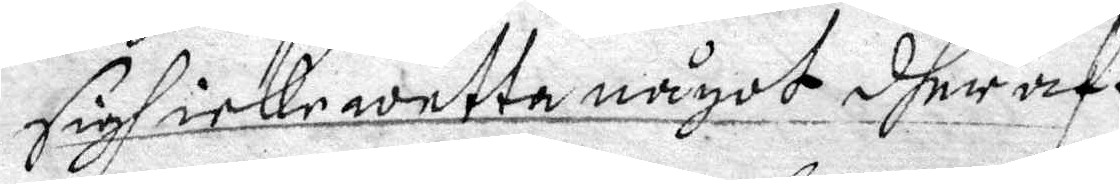sigh icke wetta något dheraf.
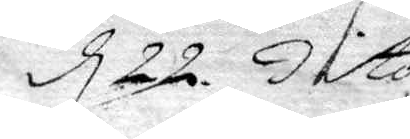d 22 dito.
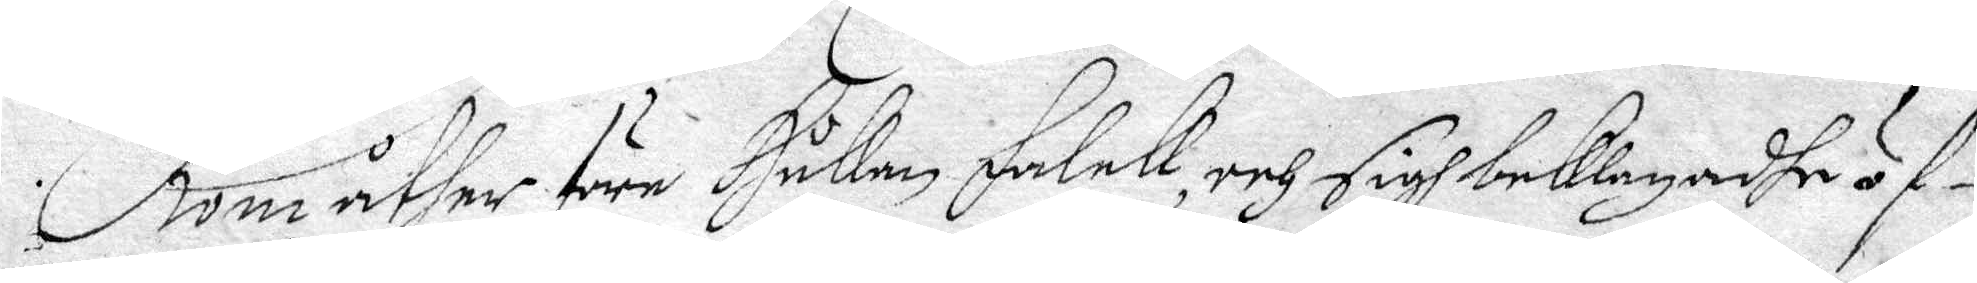Kom åther före Håkan Falck och sigh beklagadhe öf¬
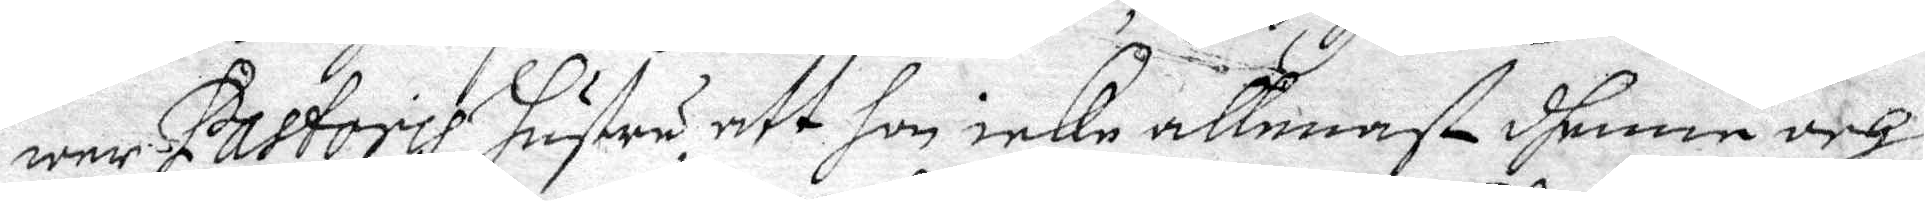wer Pastoris hustru, att hon icke allenast dhenne och
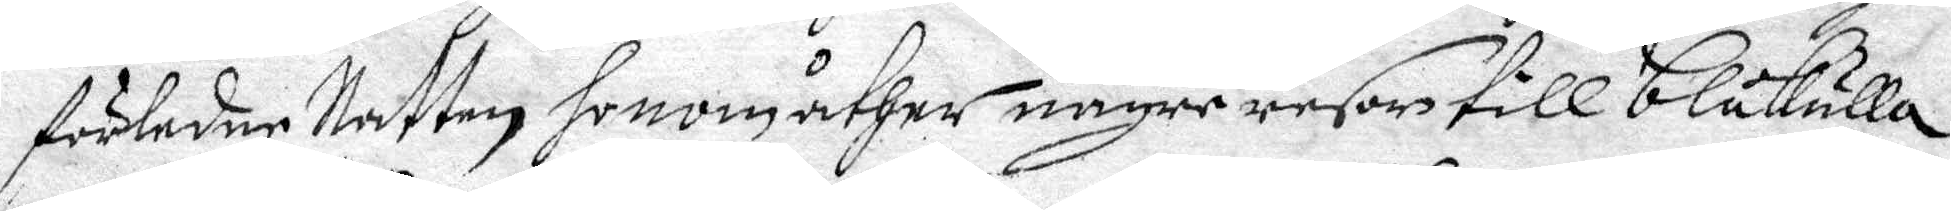förledne Natten honom åther någre resor till blåkulla
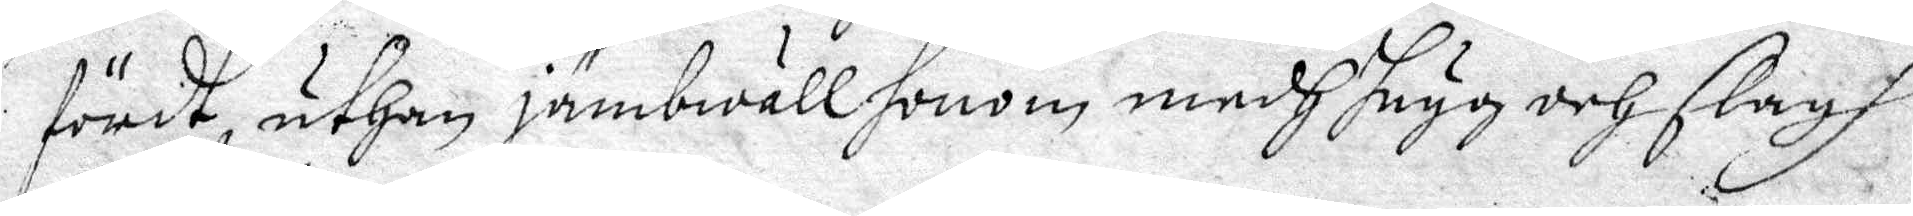fördt, uthan jämbwäll honom medh hugg och slagh
